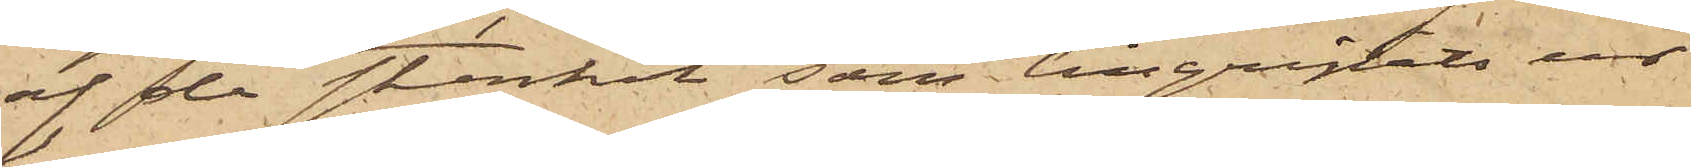af den stenkol, som tillgripits ur
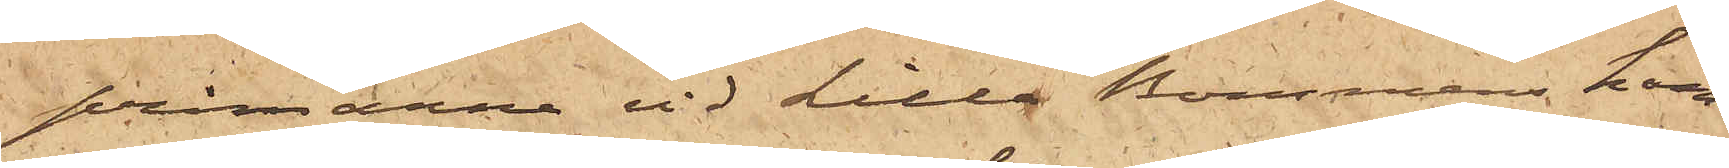pråmarna vid Lilla Bommen ham¬
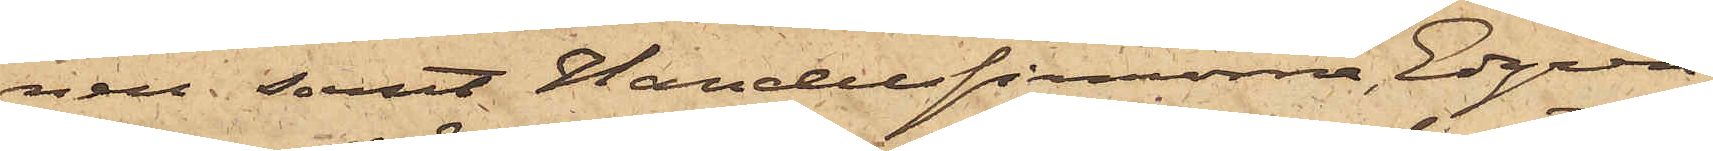nen; samt Handelsfirmorna Edgren
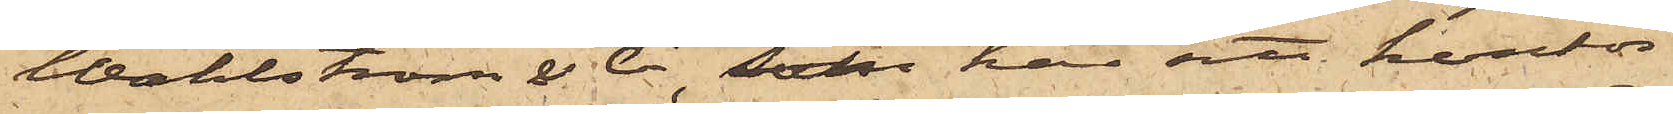Wahlström & Co, som har sitt kontor
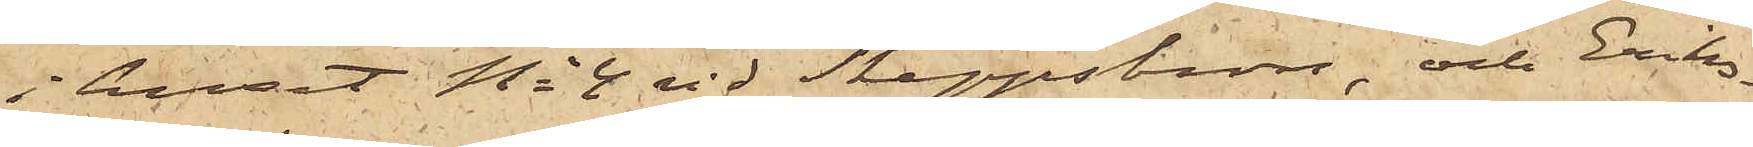i huset No 4 vid Skeppsbron, och Eriks¬
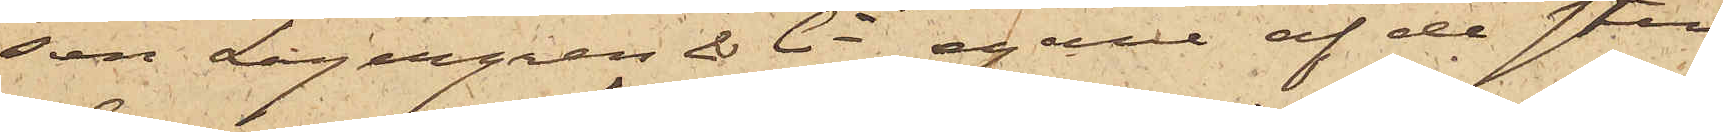son, Lagergren & Co egare af de sten¬
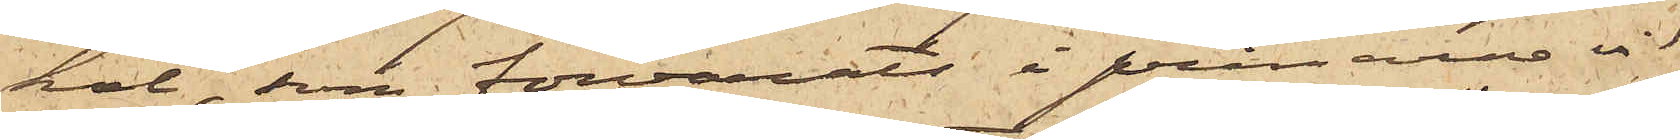kol, som förvarats i pråmarna vid
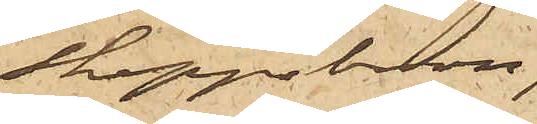Skeppsbron.
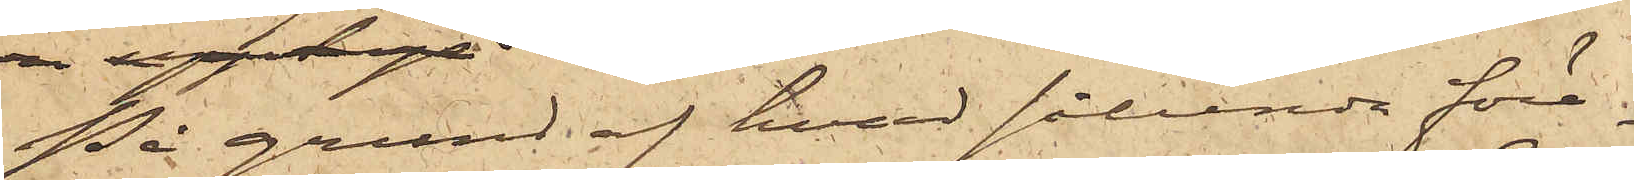På grund af hvad sålunda före¬
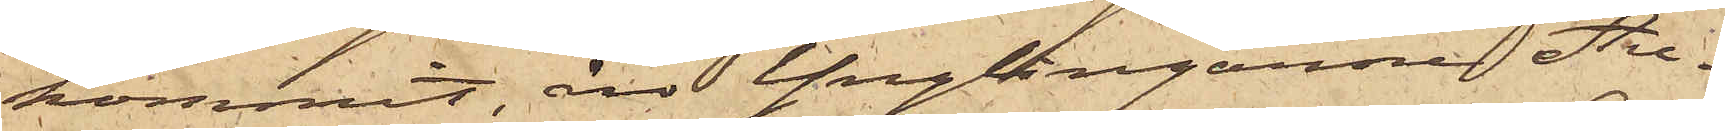kommit, äro Ynglingarne Au¬
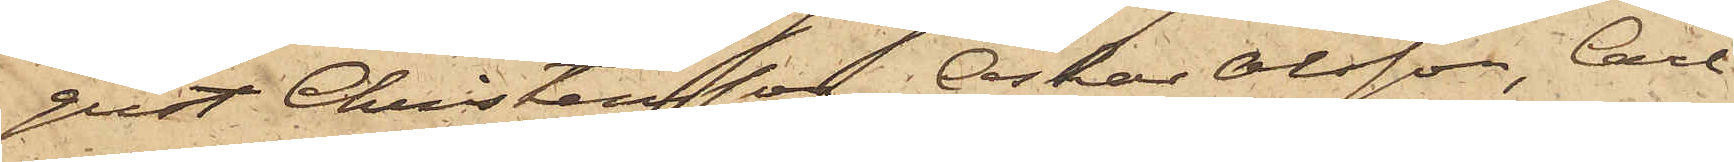gust Christensson, Oskar Olsson, Carl
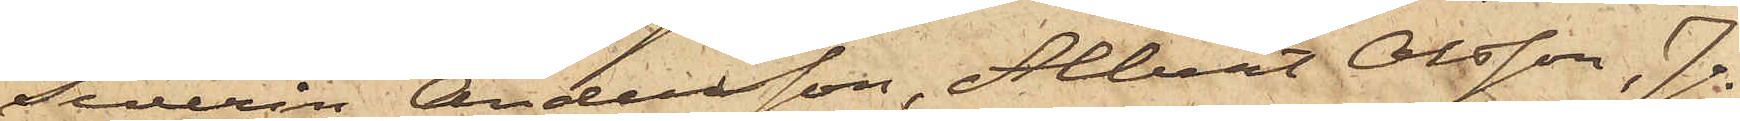Severin Andersson, Albert Olsson, Jo¬
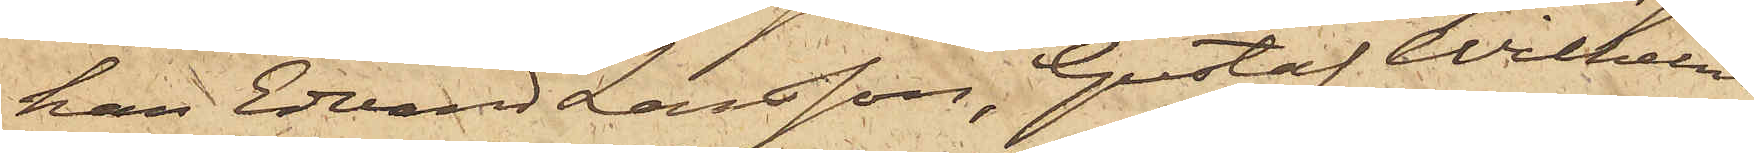han Edvard Larsson, Gustaf Wilhelm
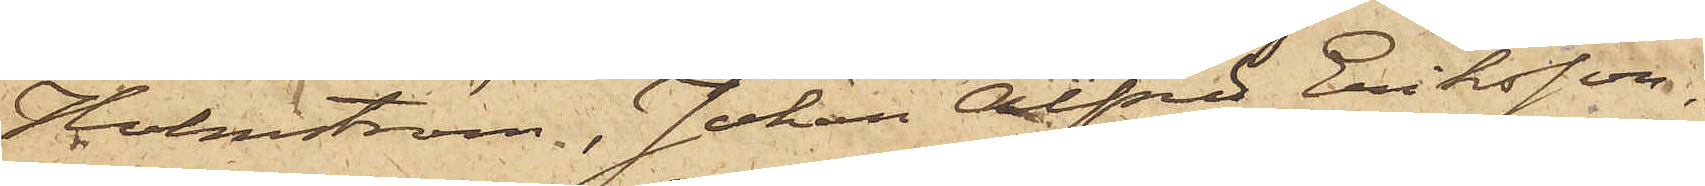Holmström. Johan Alfred Eriksson,
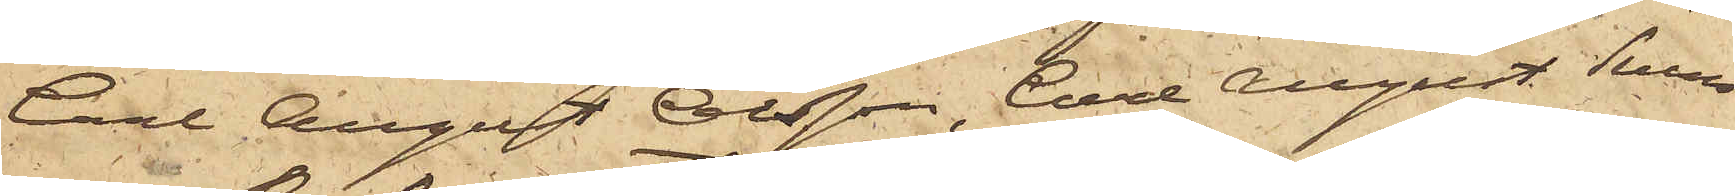Carl August Olsson, Carl August Svens¬
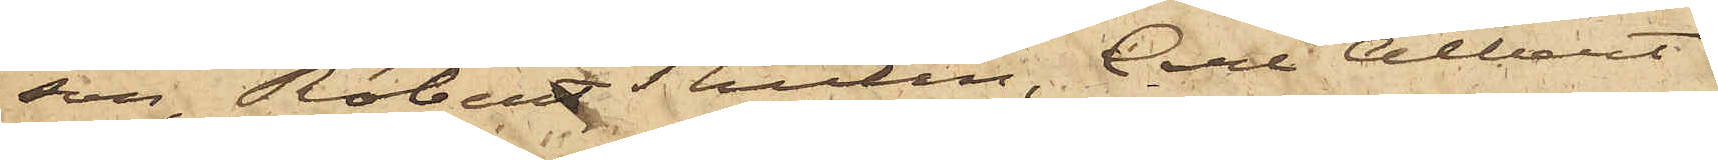son, Robert Tholin, Carl Albert
